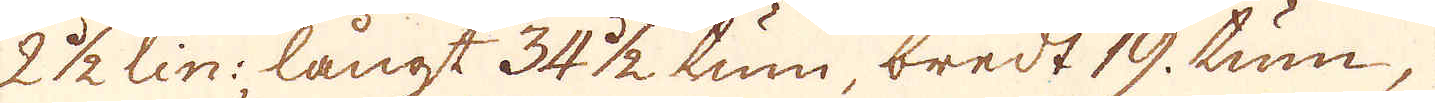2 1/2 lin:, långt 34 1/2 tum, bredt 19. tum,
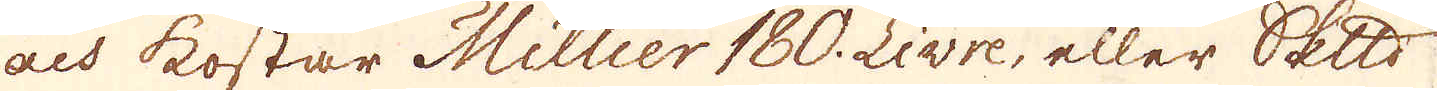och kostar Millier 180. Livre, eller skeppund
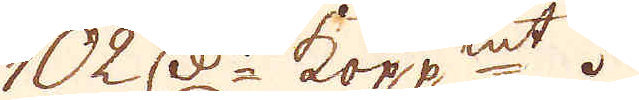102 d:r kopp:mt.
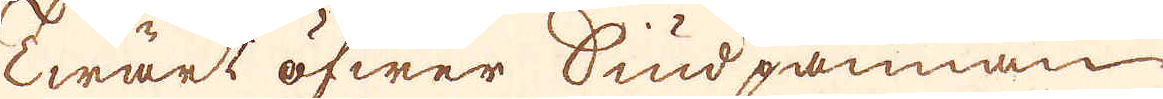Twärt öfwer Siudpannan
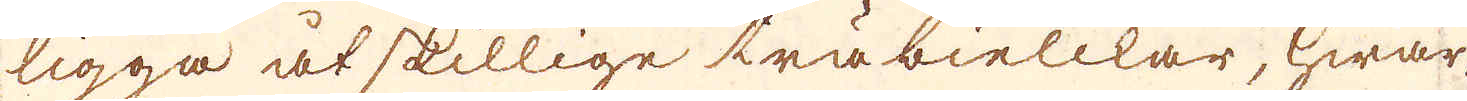ligga åtskillige träbielckar, hwar-
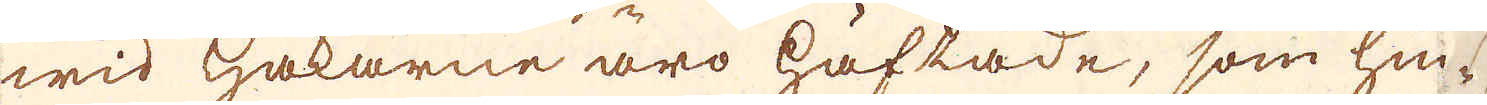wid hakarne äro häftade, som hin-
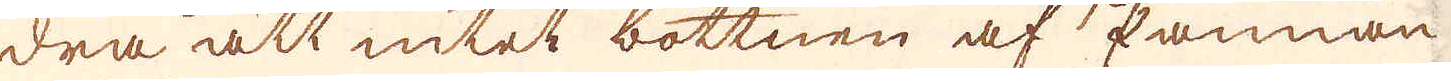dra att intet bottnen af Pannan
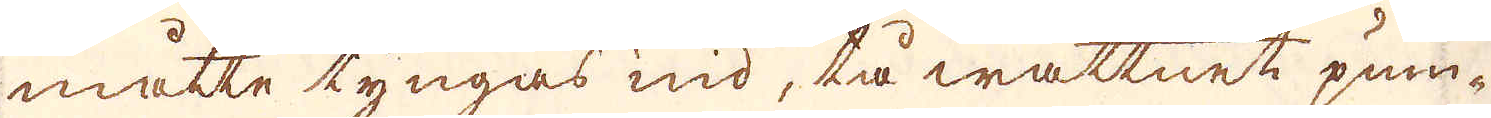måtte tyngas nid, tå wattnet pum-
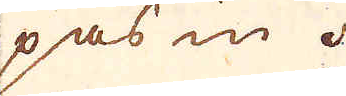pas in.
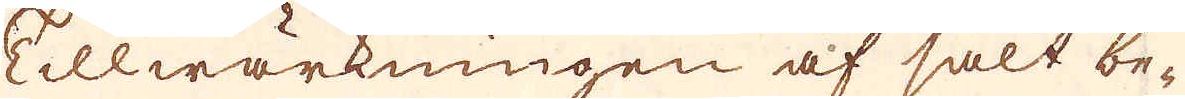Tillwärkningen af salt be-
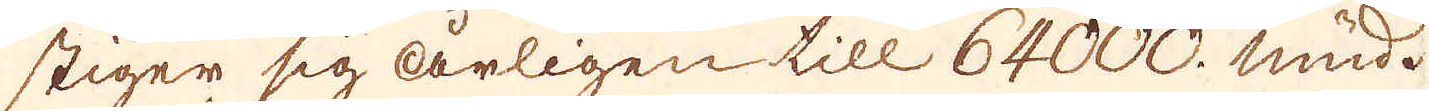stiger sig årligen till 64000. mud.
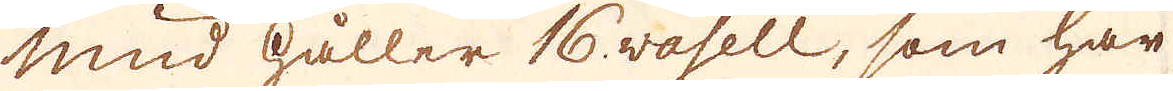Mud håller 16 vosell, som har
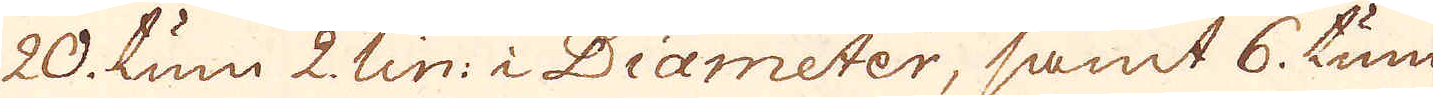20. tum 2. lin: i Diameter, samt 6. tum
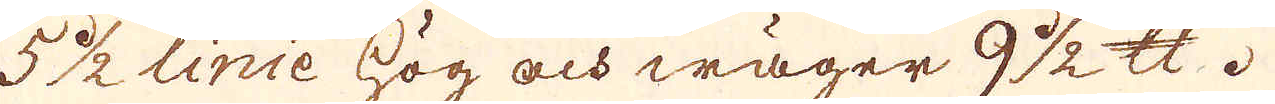5 1/2 linie hög och wäger 9 1/2 skålpund.
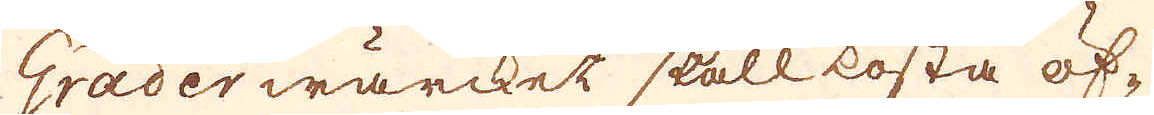Grader wärcket skall kosta öf-
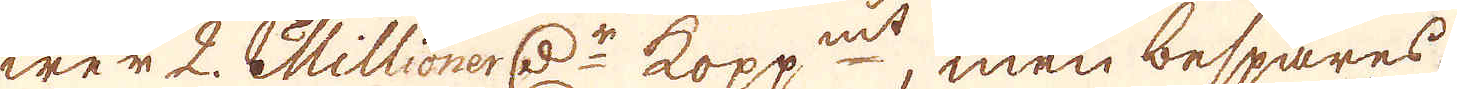wer 2. Millioner d:r kopp:mt, men bespares
